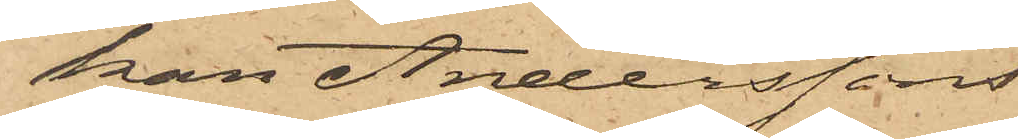kan Anderssons
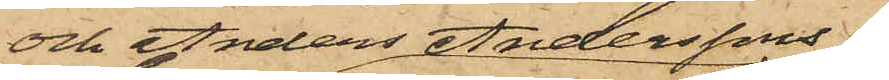och Anders Anderssons
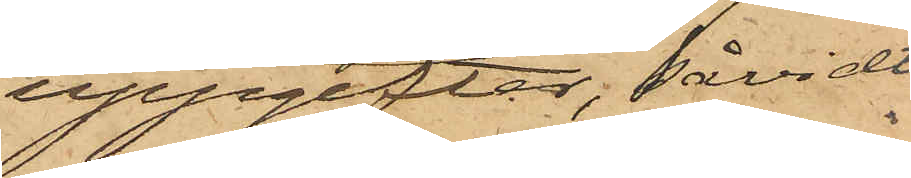uppgifter, såvidt
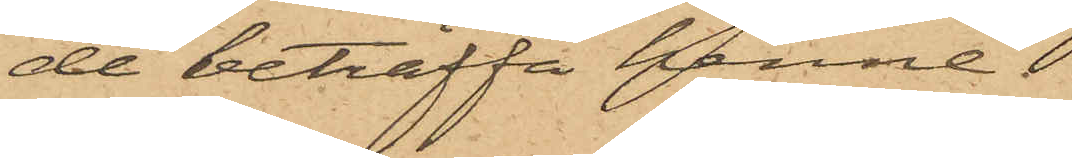de beträffa henne. 
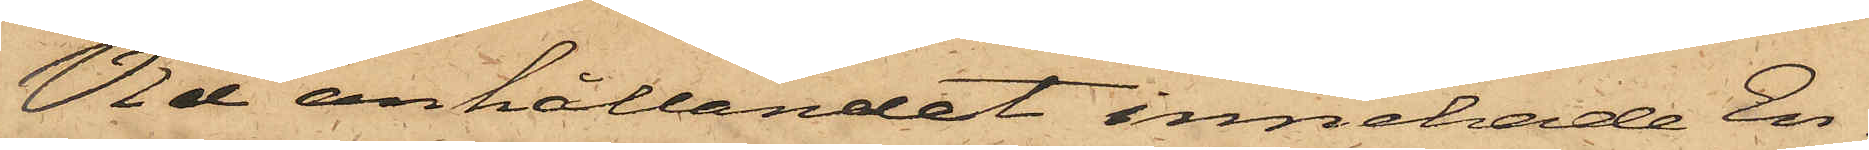Vid anhållandet innehade En¬
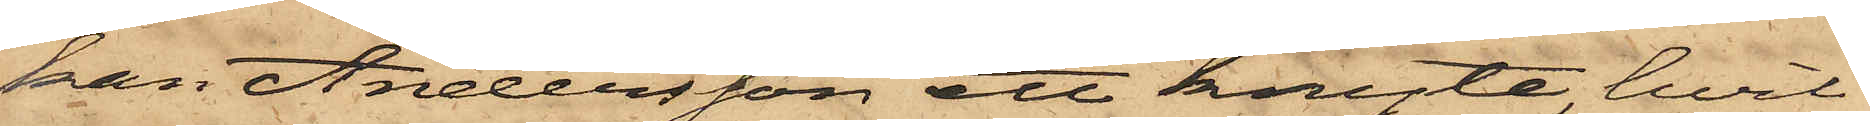kan Andersson ett knyte, hvil¬
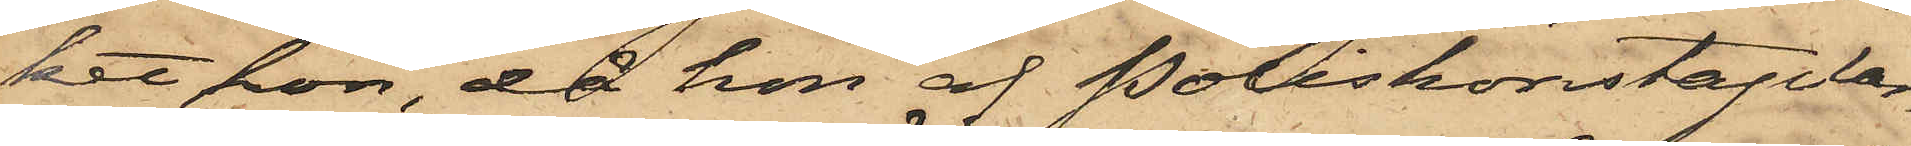kat hon, då hon af Poliskonstaplar¬
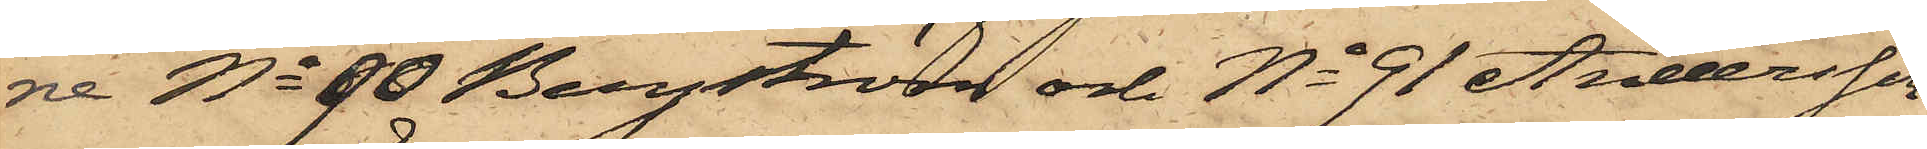ne No 90 Bergström och No 91 Andersson
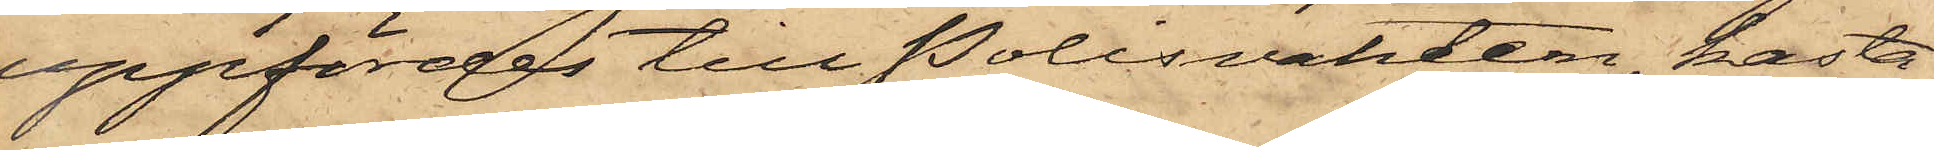uppfördes till Polisvakten, kasta¬
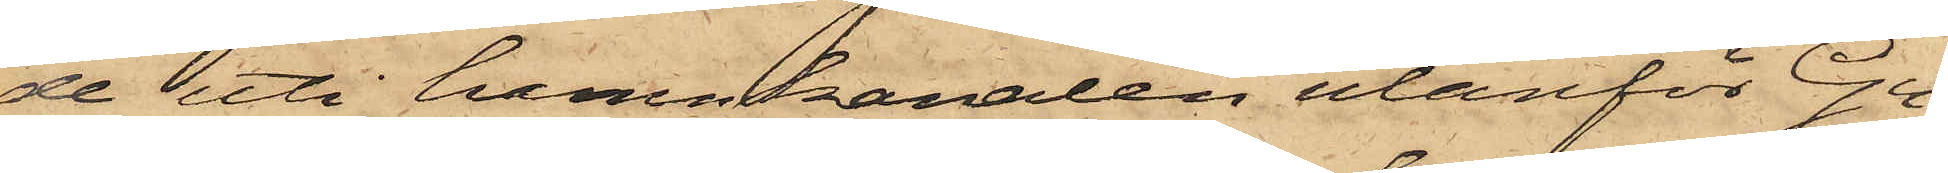de uti hamnkanalen utanför Gu¬
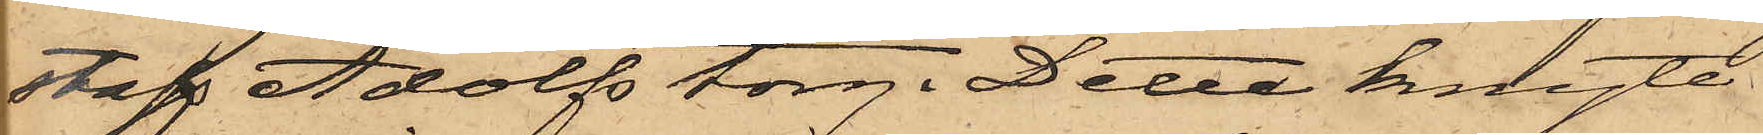staf Adolfs torg. Detta knyte
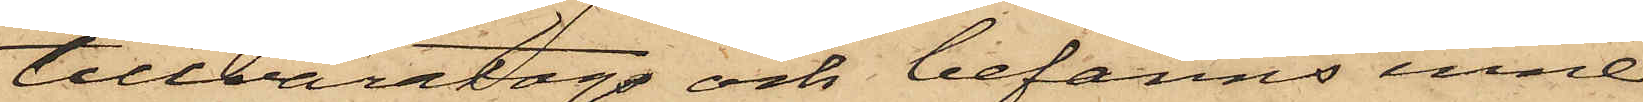tillvaratogs och befanns inne¬
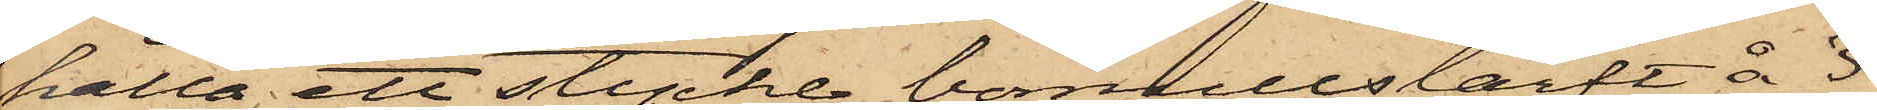hålla ett stycke bomullslärft å 3
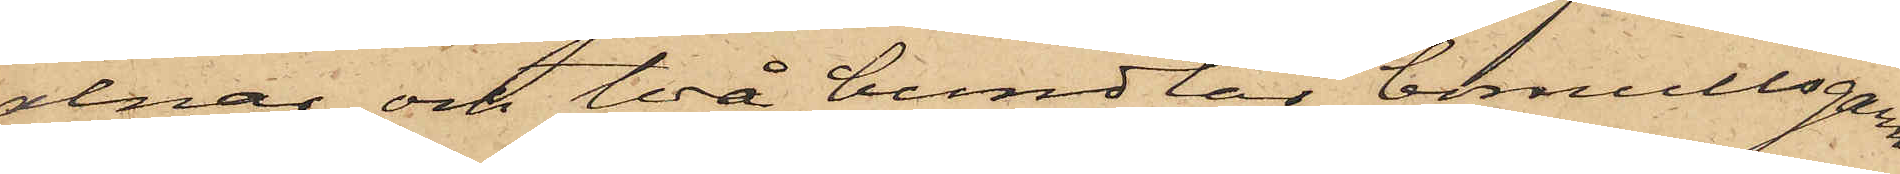alnar och två bundtar bomullsgarn.
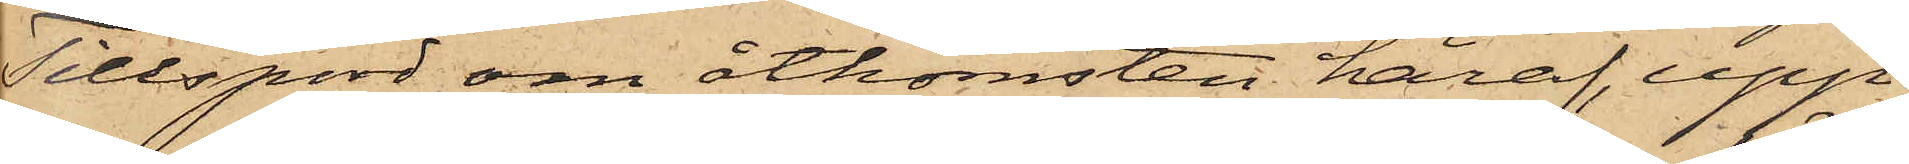Tillspord om åtkomsten häraf, upp¬
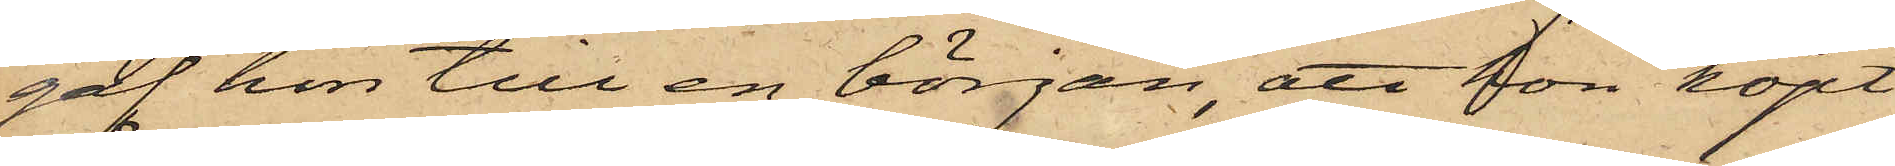gaf hon till en början, att hon köpt
